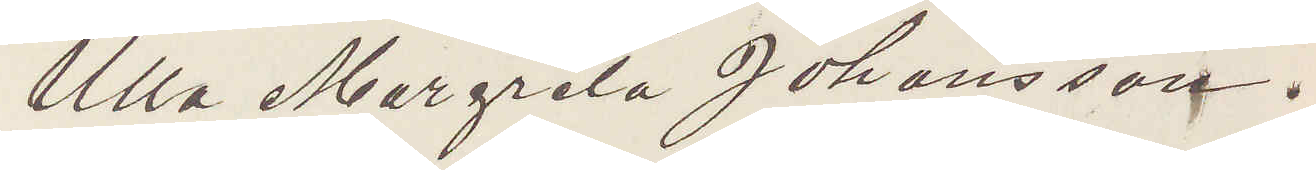Ulla Margreta Johansson.
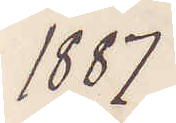1887
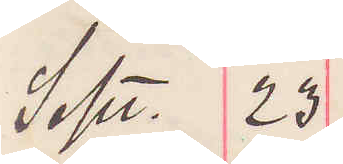Sept. 23
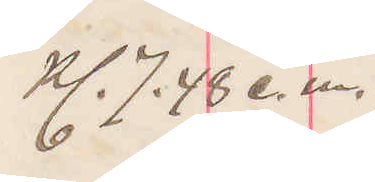Kl 7.48 e.m.
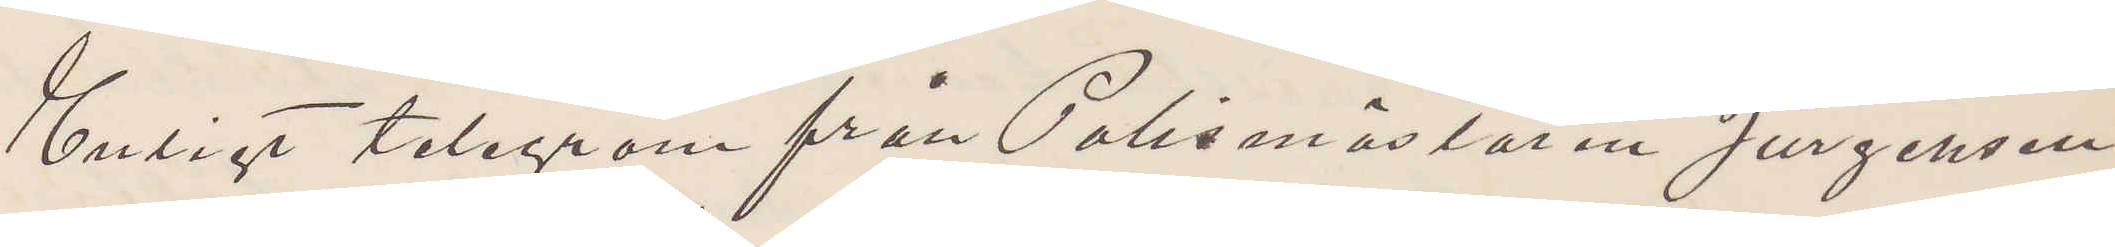Enligt telegram från Polismästaren Jürgensen
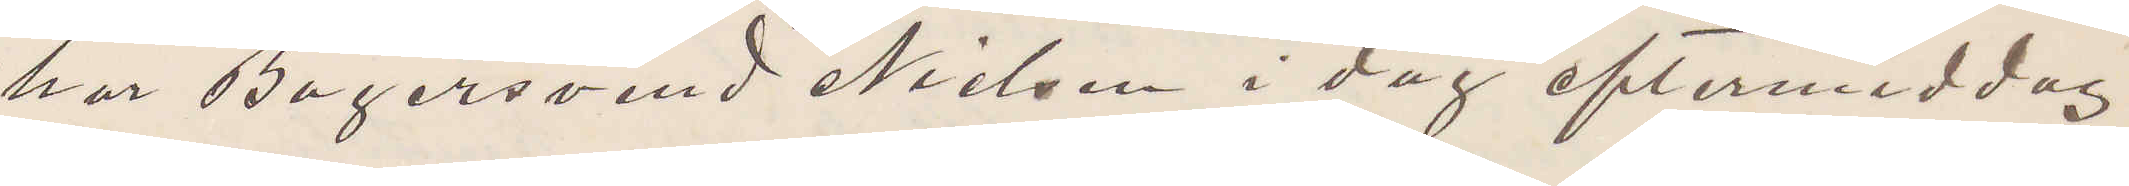har Bagersvend Nielsen i dag eftermiddag
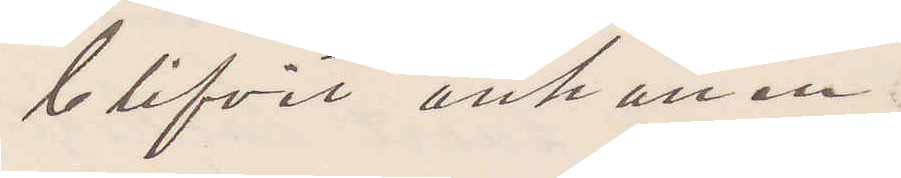blifvit anhållen.
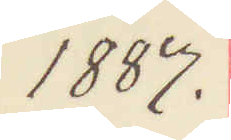1887.
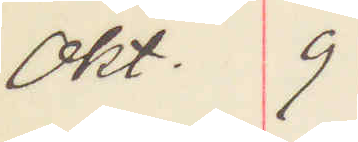Okt. 9
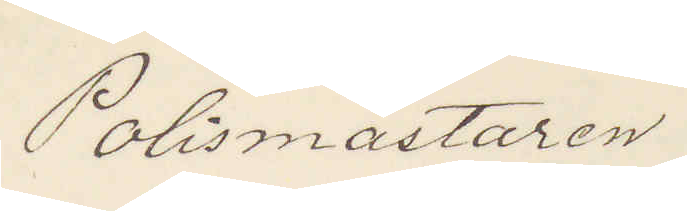Polismästaren
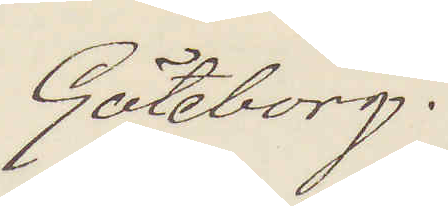Göteborg.
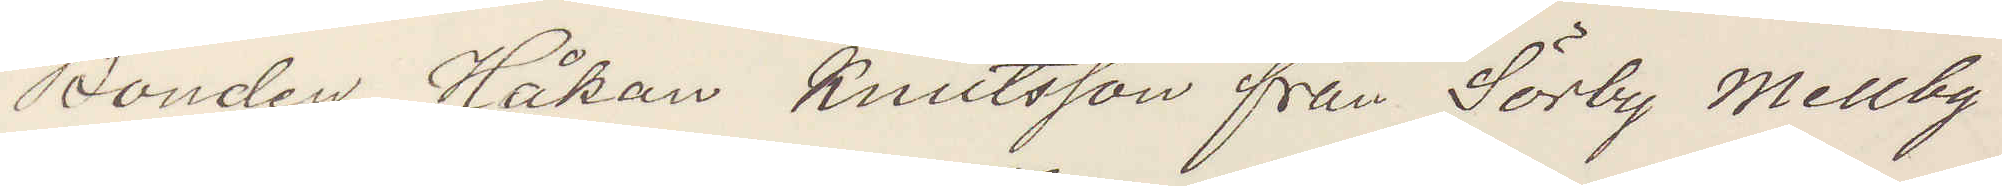Bonden Håkan Knutsson från Sörby Mellby
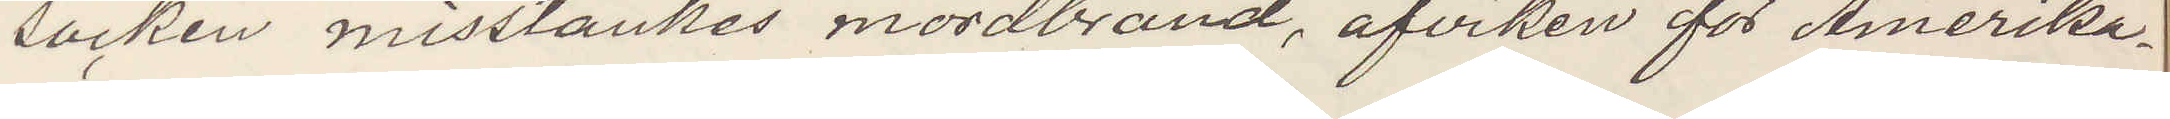socken misstänkes mordbrand, afviken för Amerika¬
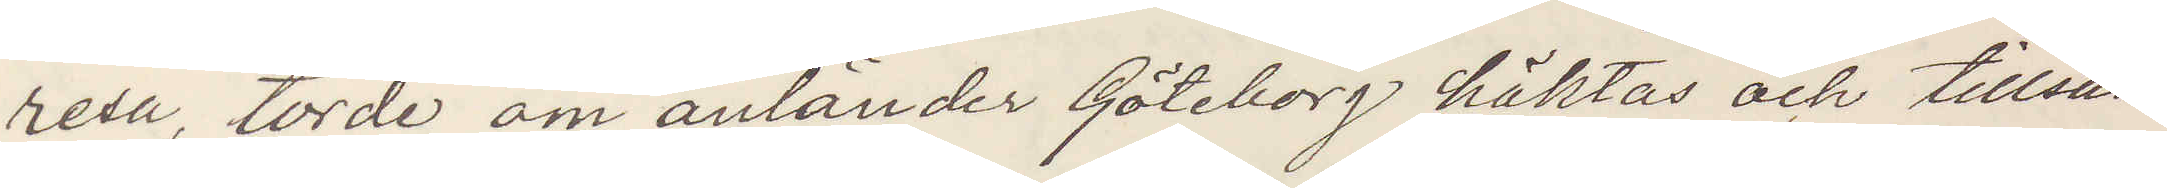resa, torde om anländer Göteborg häktas och tillsän¬
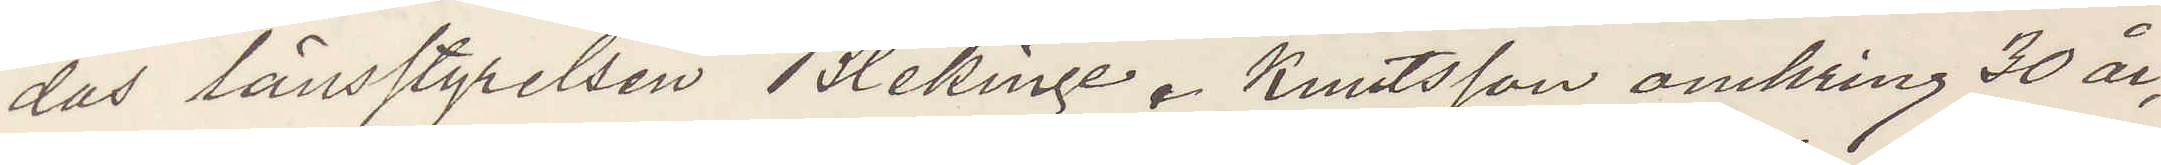das länsstyrelsen Blekinge. Knutsson omkring 30 år,
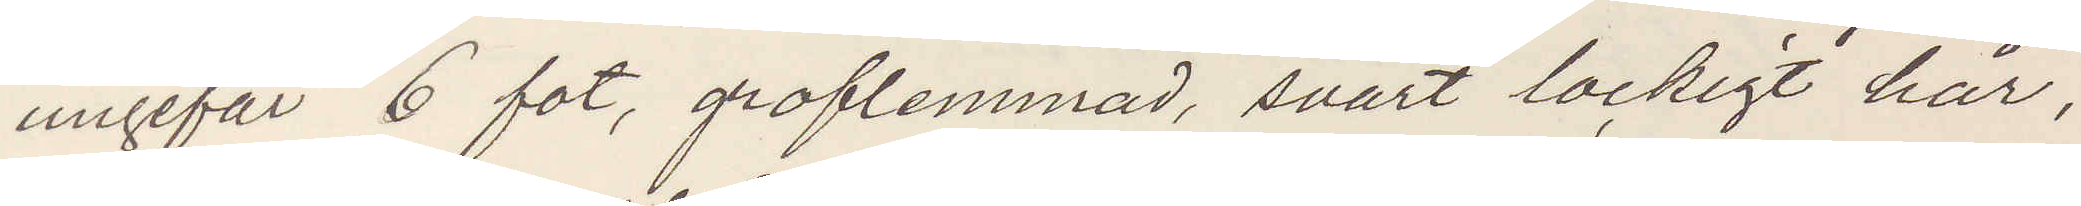ungefär 6 fot, groflemmad, svart lockigt hår,
